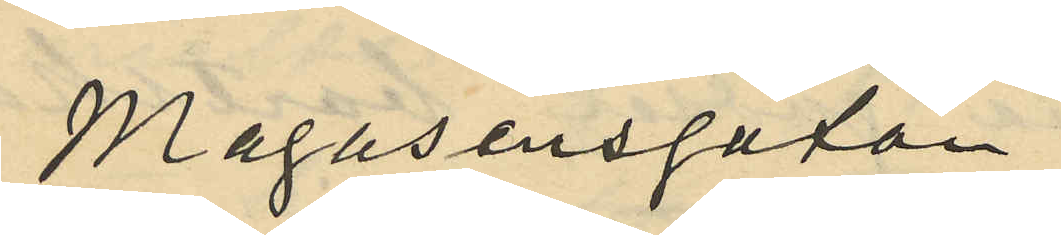Magasinsgatan;
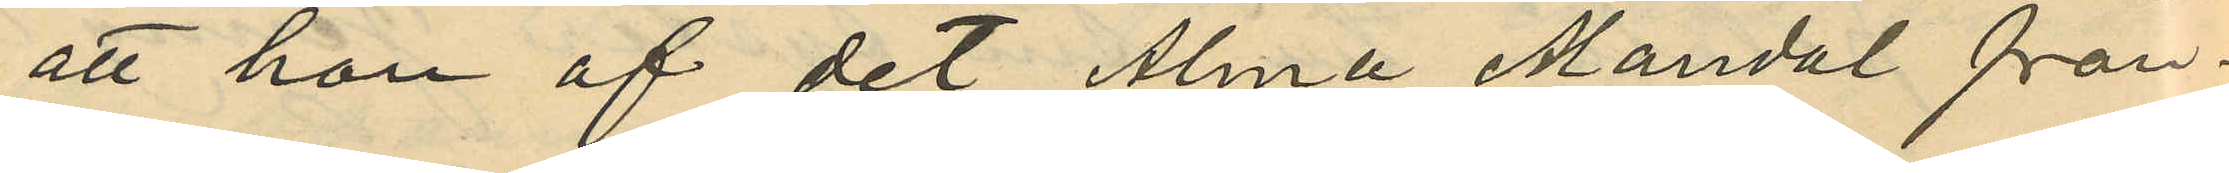att hon af det Alma Mandal från
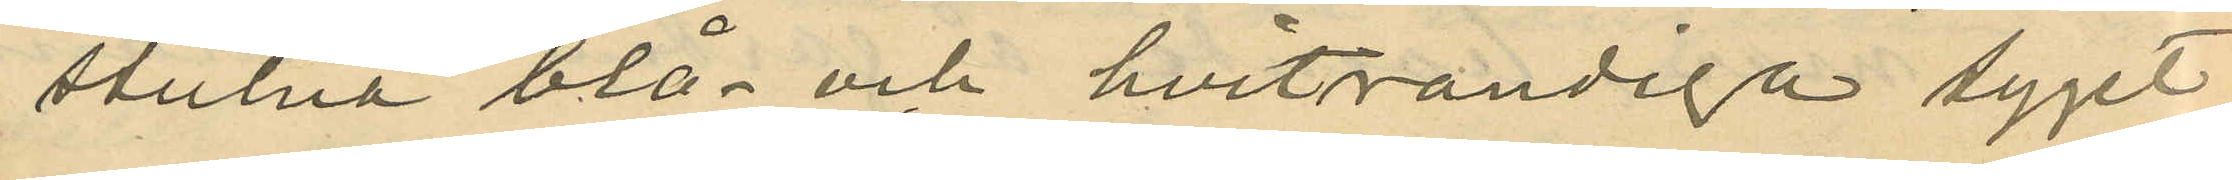stulna blå- och hvitrandiga tyget
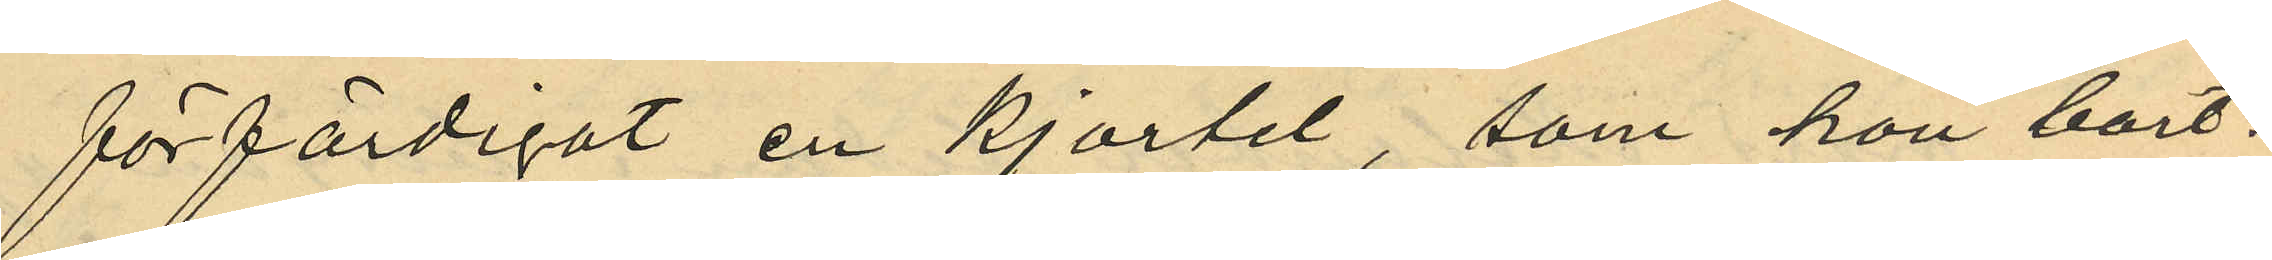förfärdigat en kjortel, som hon bort¬
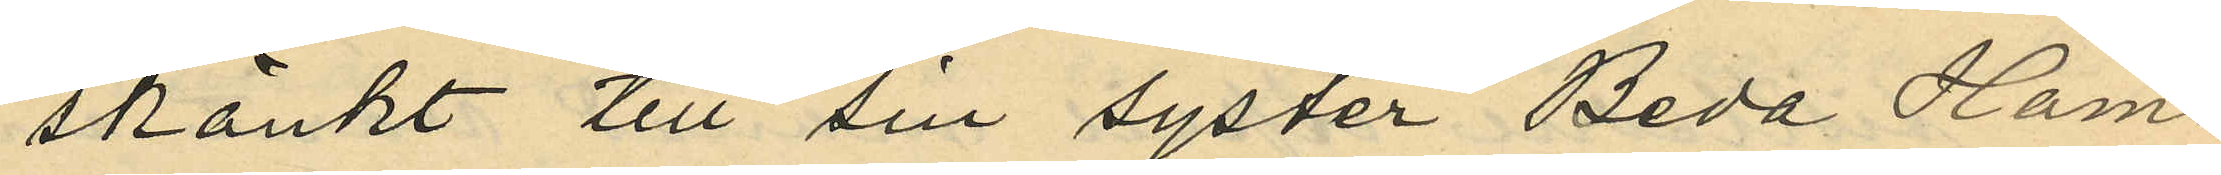skänkt till sin syster Beda Ham¬
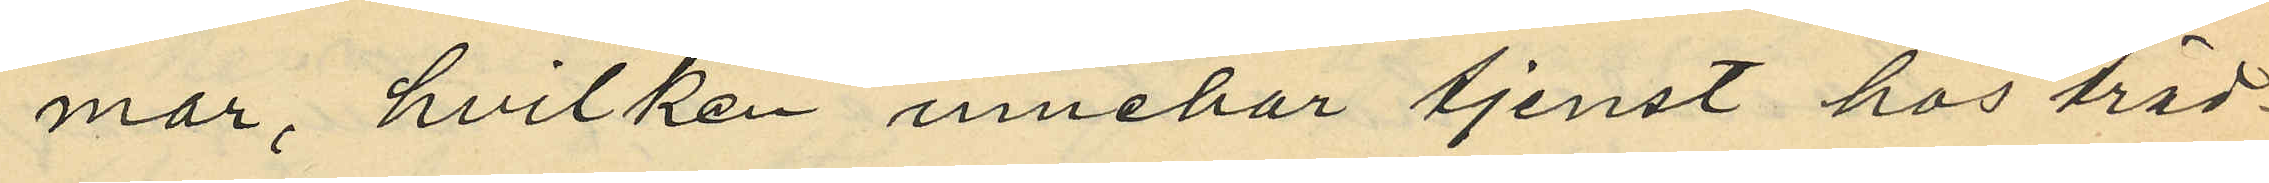mar, hvilken innehar tjenst hos träd¬
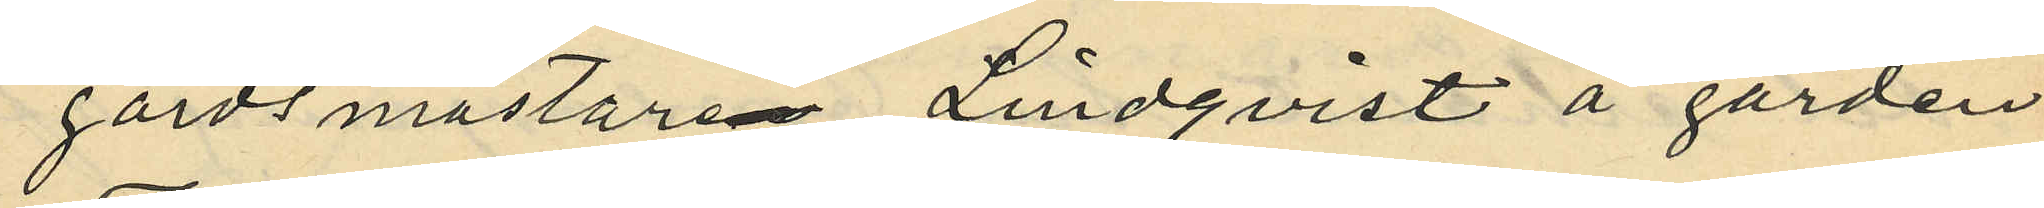gårdsmästaren Lindqvist å gården
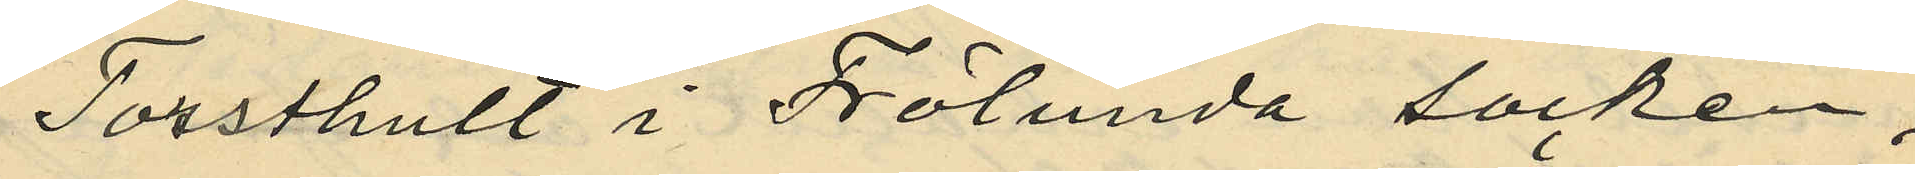Torsshult i Frölunda socken;
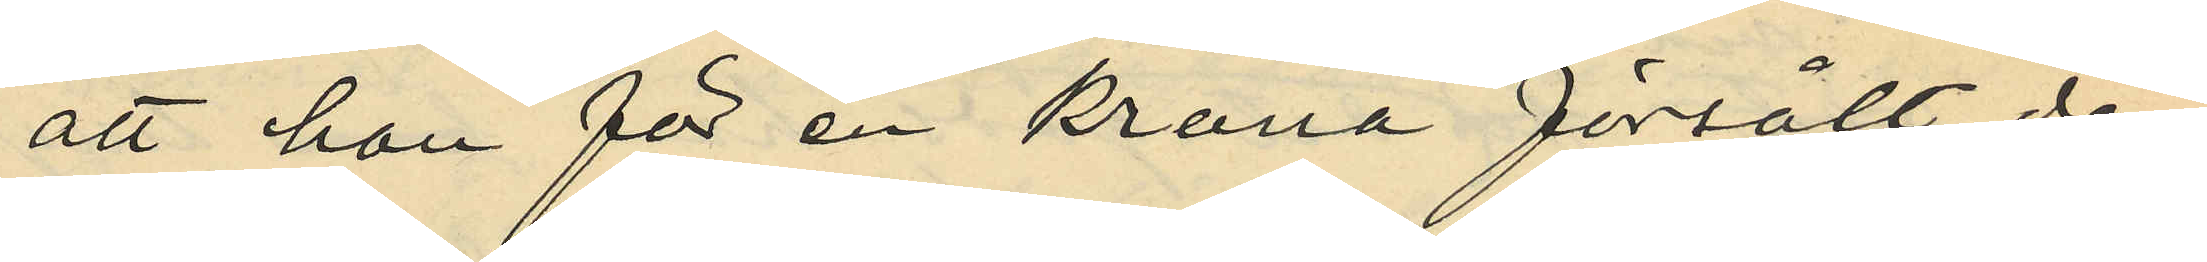att hon för en krona försålt den
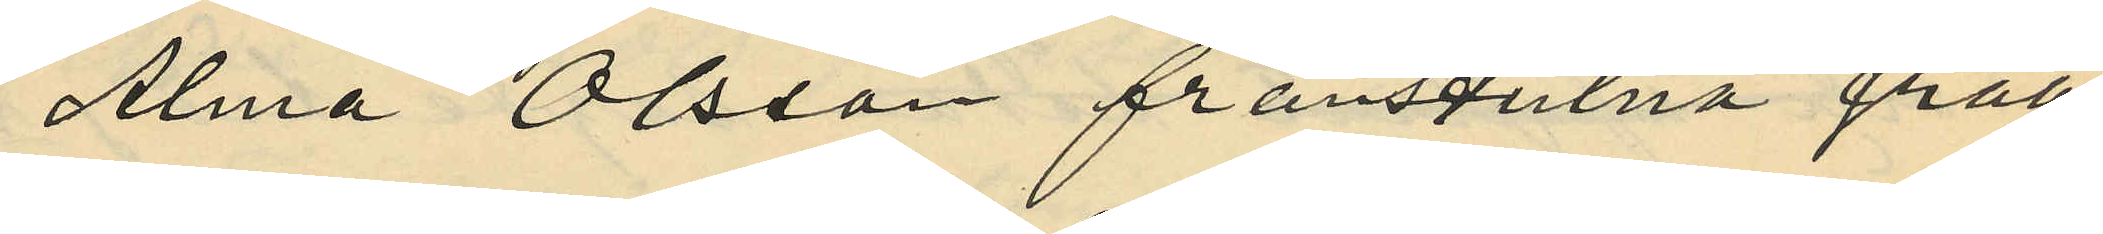Alma Olsson frånstulna gråa
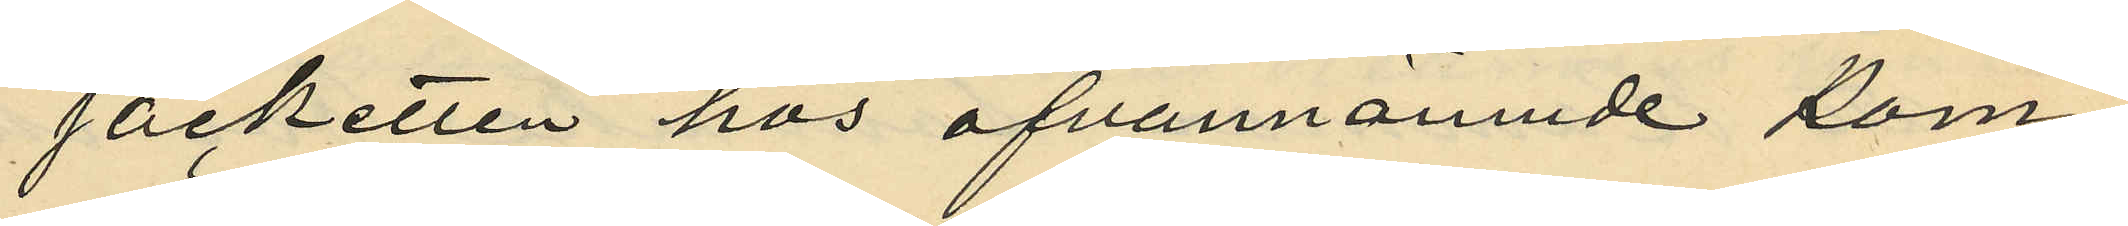jacketten hos ofvannämnde kom¬
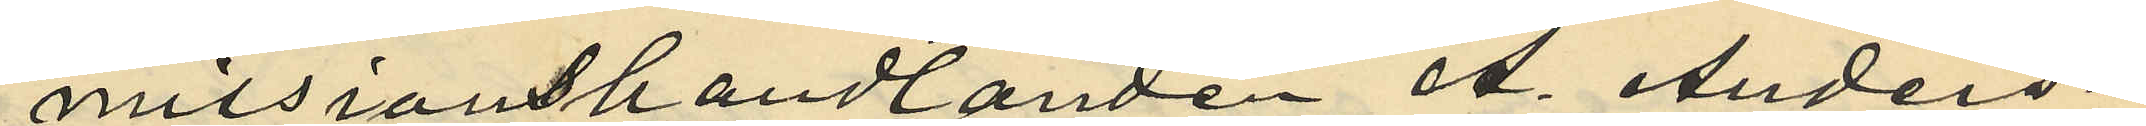missionshandlanden A. Anders¬
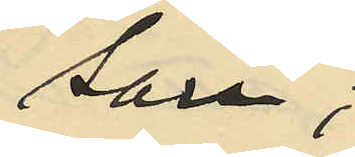son;
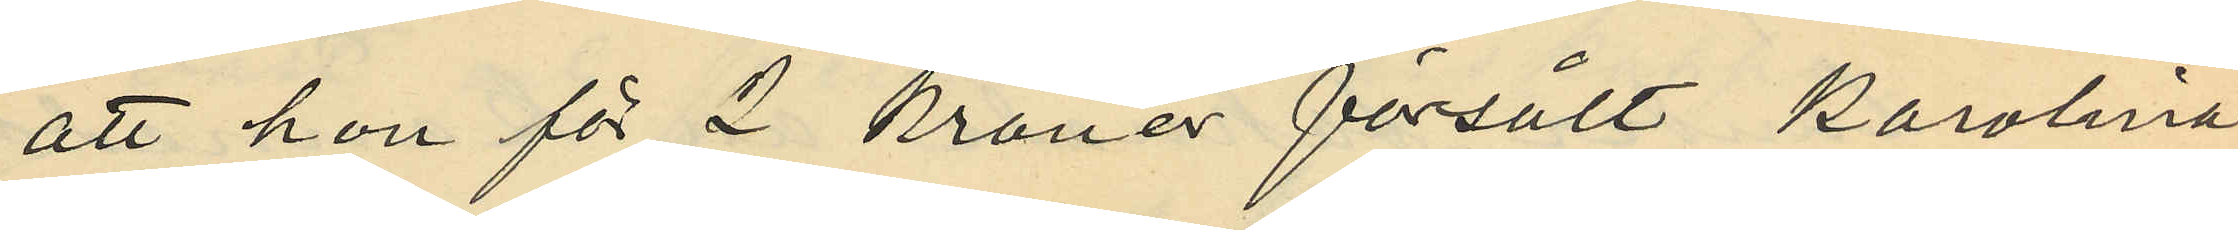att hon för 2 kroner försålt Karolina
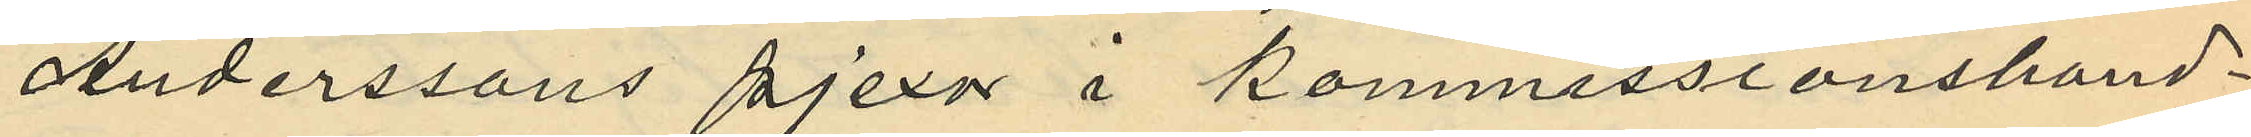Anderssons pjexor i kommissionshand¬
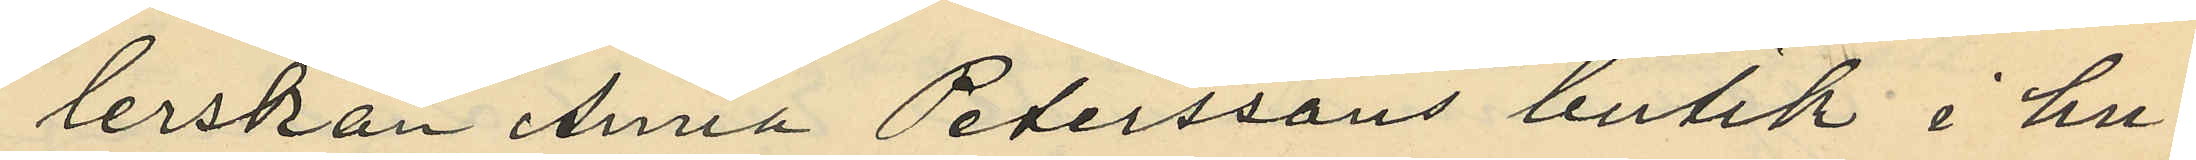lerskan Anna Peterssons butik i hu¬
